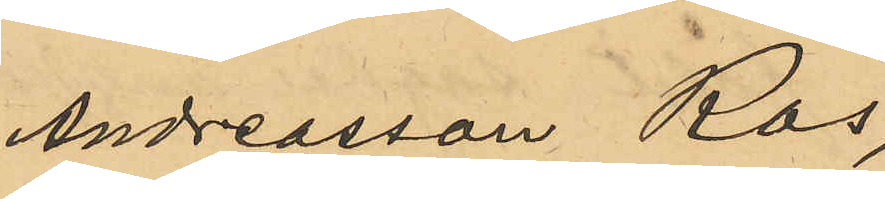Andreasson Ros,
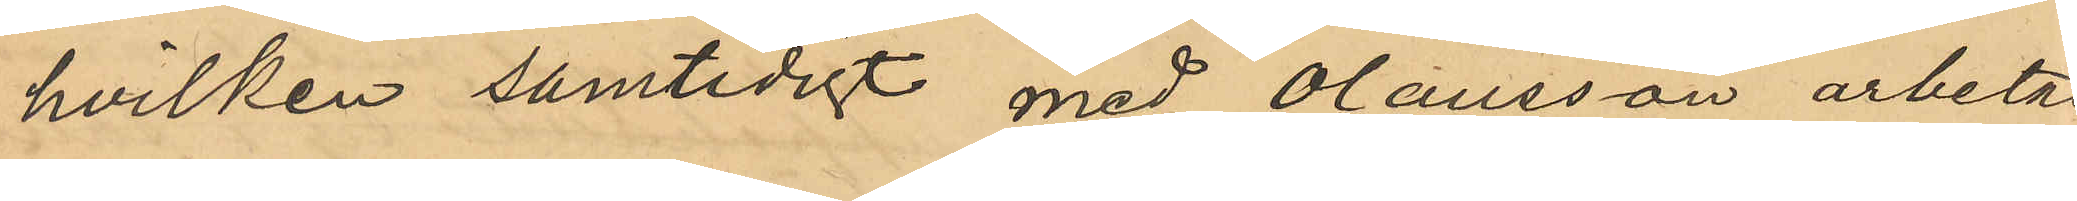hvilken samtidigt med Olausson arbetat
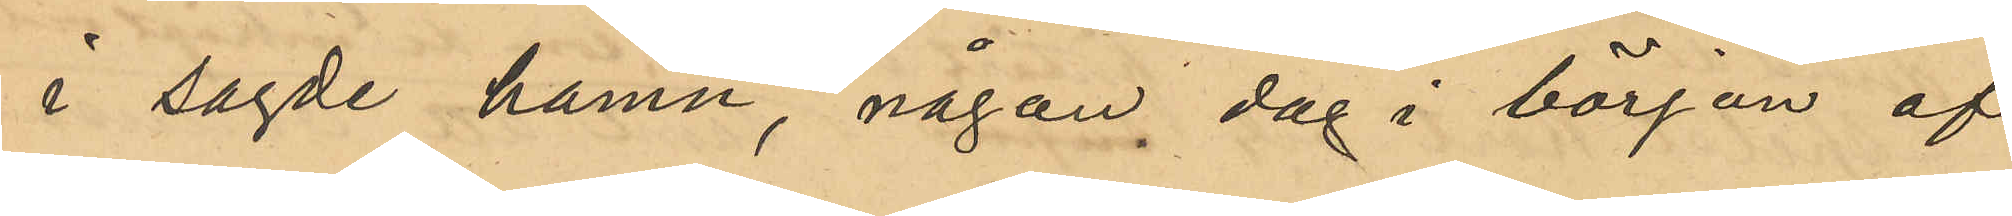i sagde hamn, någon dag i början af
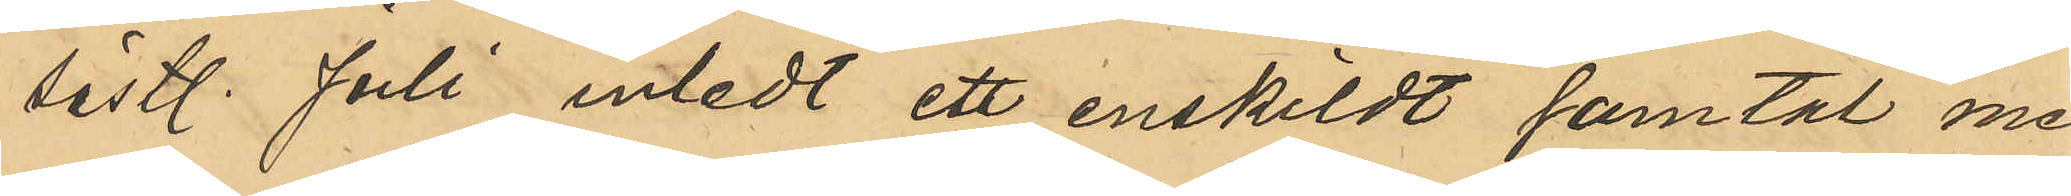sistl. Juli inledt ett enskildt samtal med
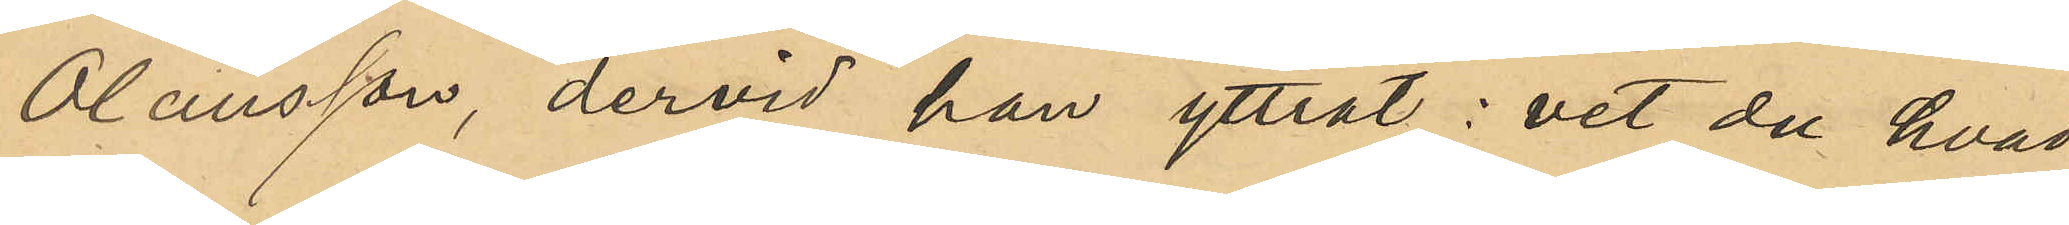Olausson, dervid han yttrat: "vet du hvad
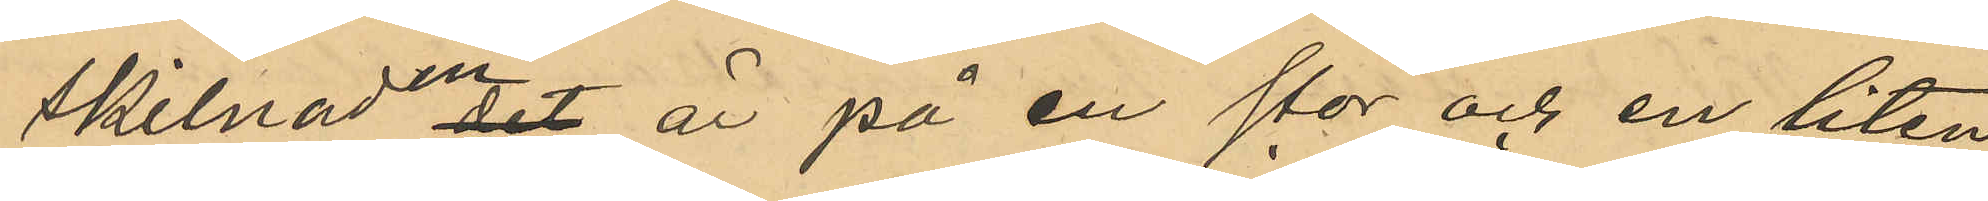skilnaden det är på en stor och en liten
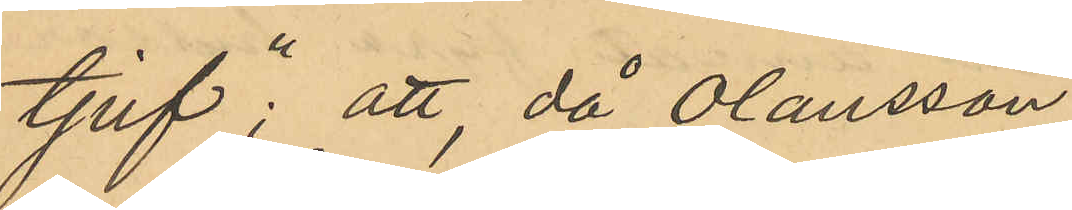tjuf"; att då Olausson 
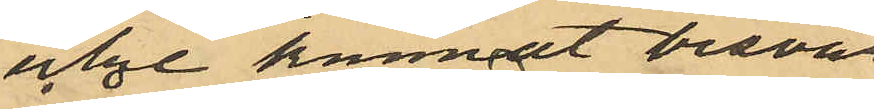icke kunnat besvara
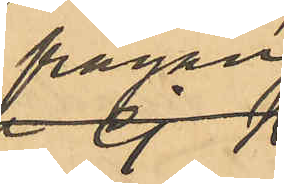frågan
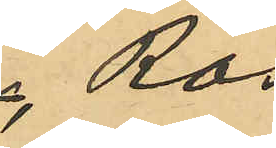Ros
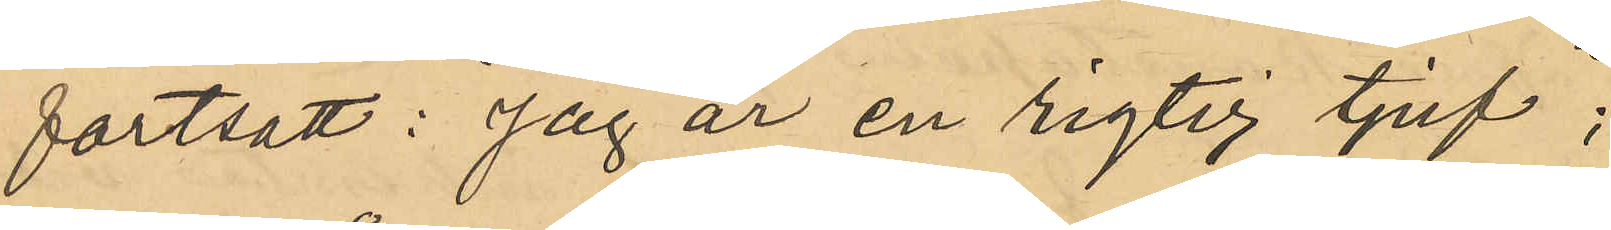fortsatt: "Jag är en rigtig tjuf";
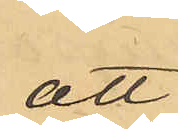att
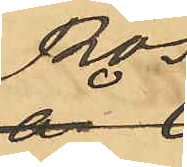Ros
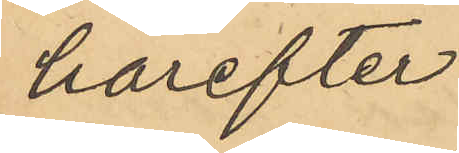härefter 
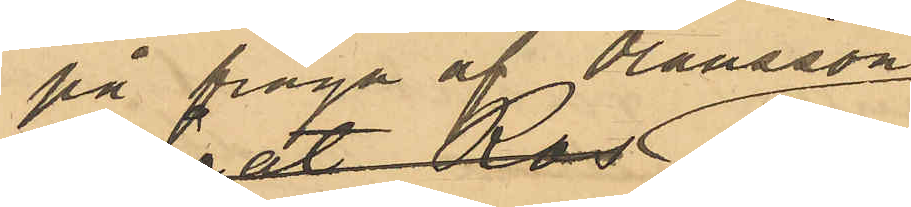på fråga af Olausson
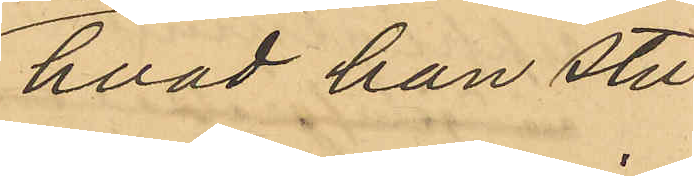hvad han stu¬
